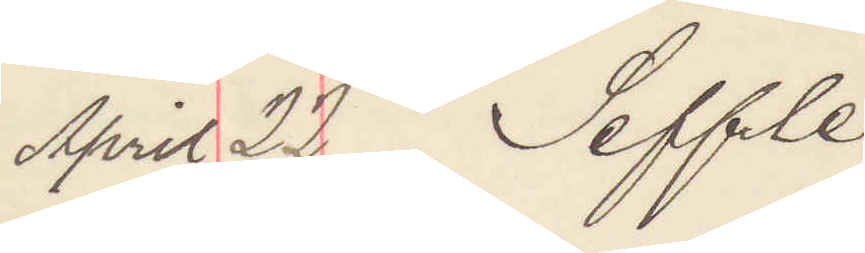April 22 Seffle
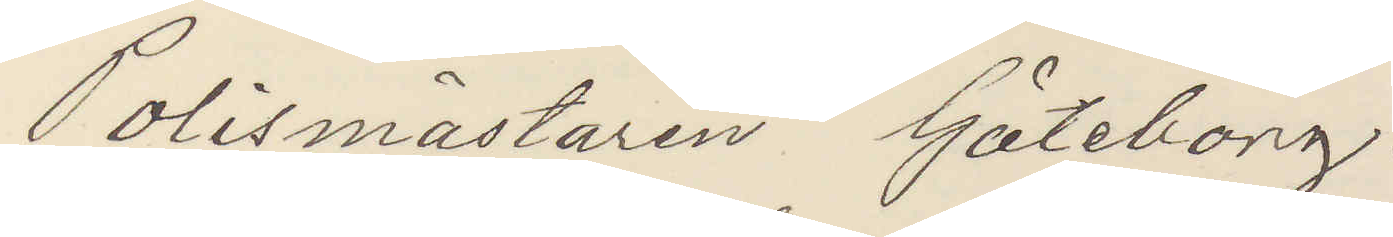Polismästaren Göteborg.
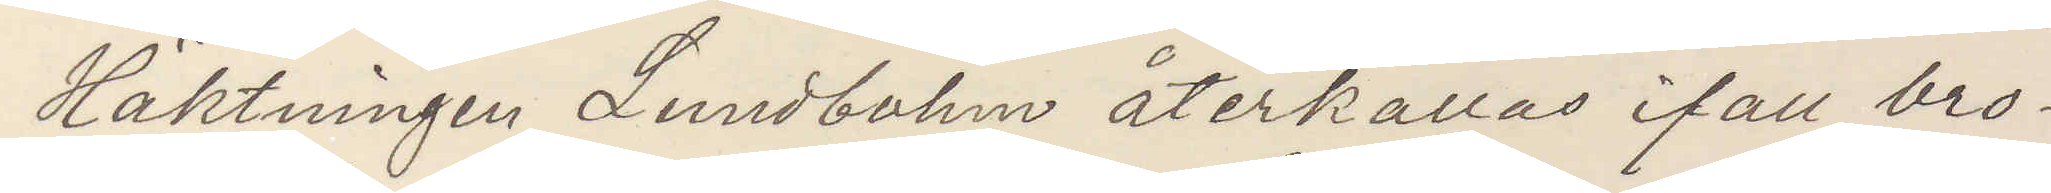Häktningen Lundbohm återkallas ifall bro¬
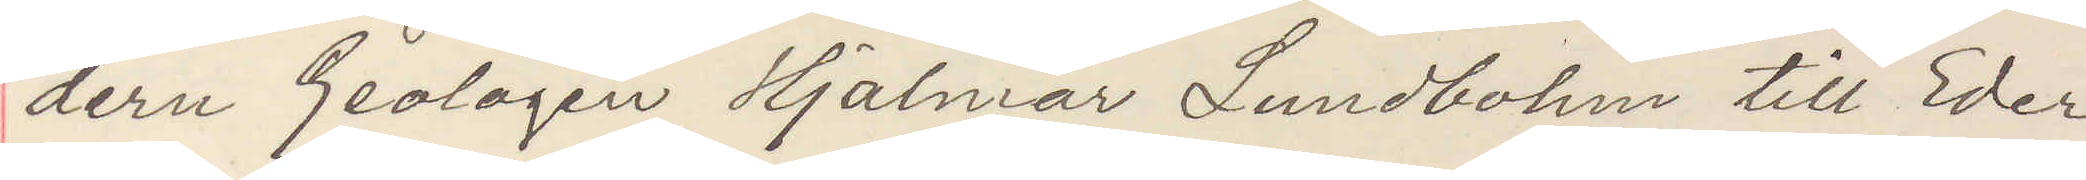dern Geologen Hjalmar Lundbohm till Eder
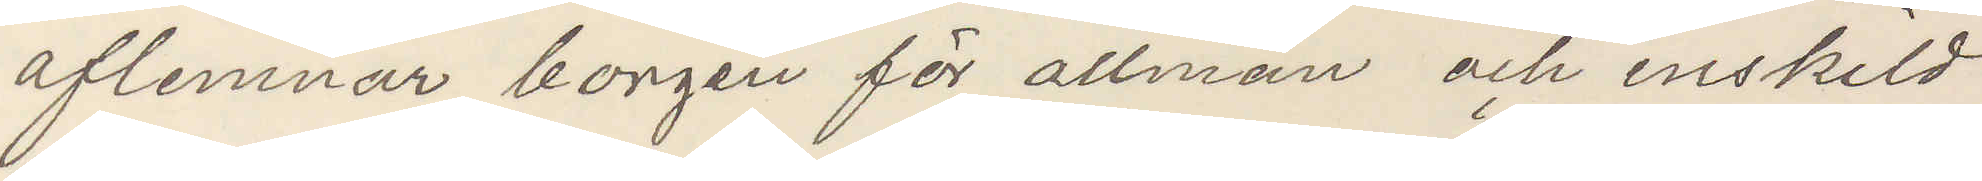aflemnar borgen för allmän och enskild
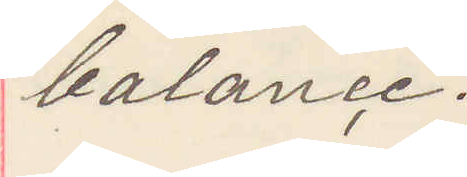balance.
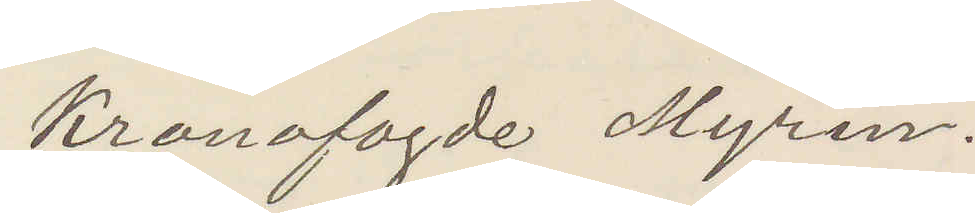Kronofogde Myrin.
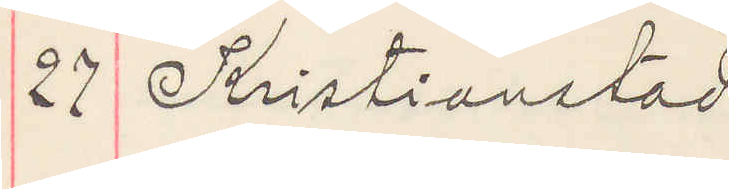27 Kristianstad
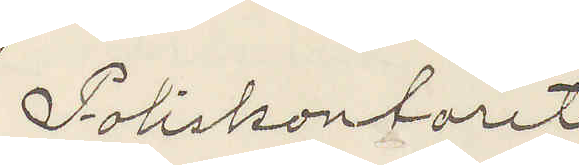Poliskontoret
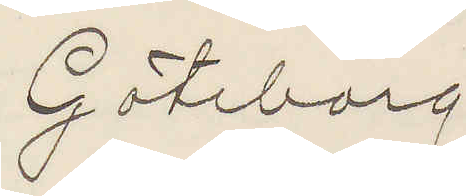Göteborg
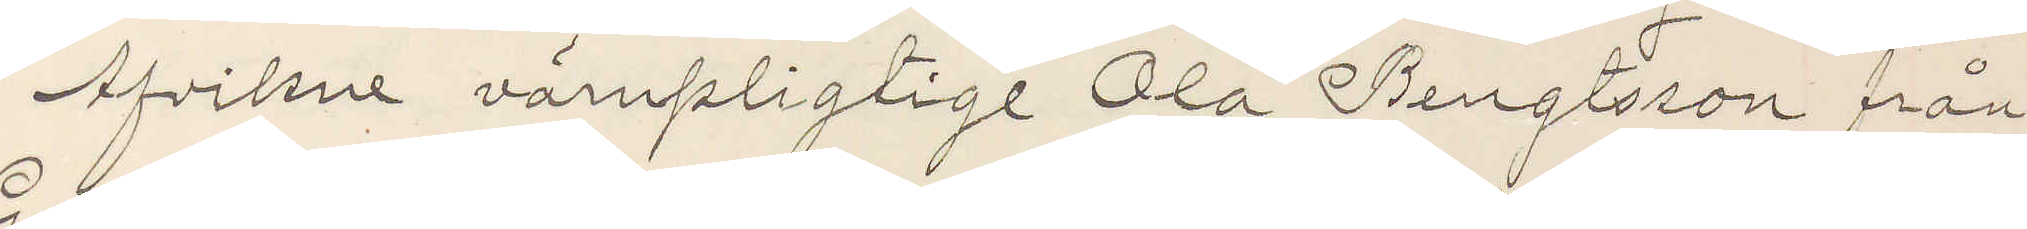Afvikne värnpligtige Ola Bengtsson från
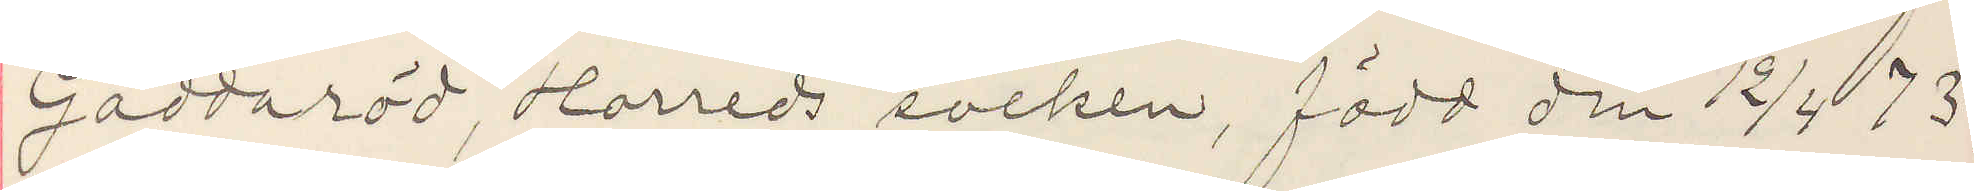Gaddaröd, Horreds socken, född den 12/4 73.
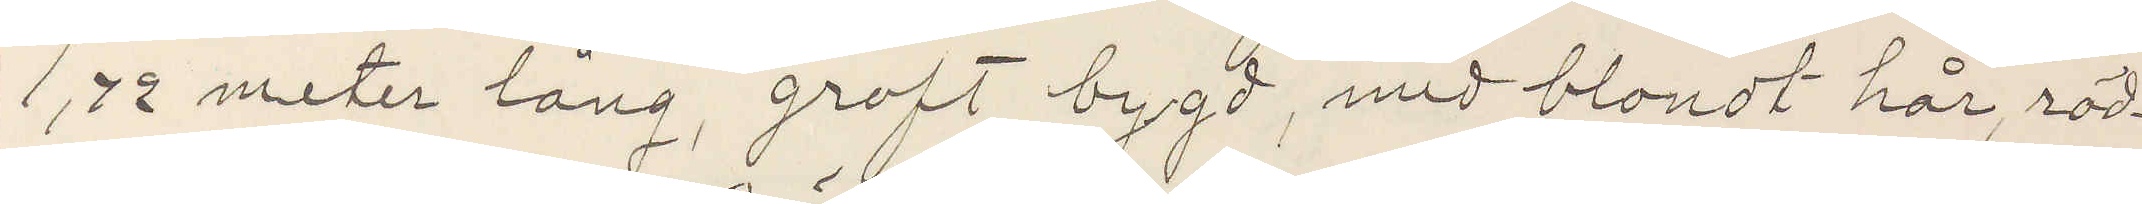1,72 meter lång, groft bygd, med blondt hår, röd¬
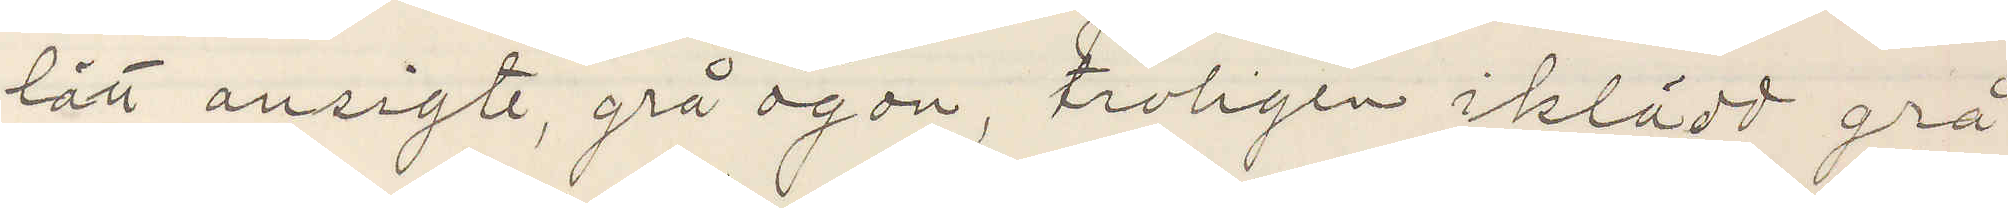lätt ansigte, grå ögon, troligen iklädd grå
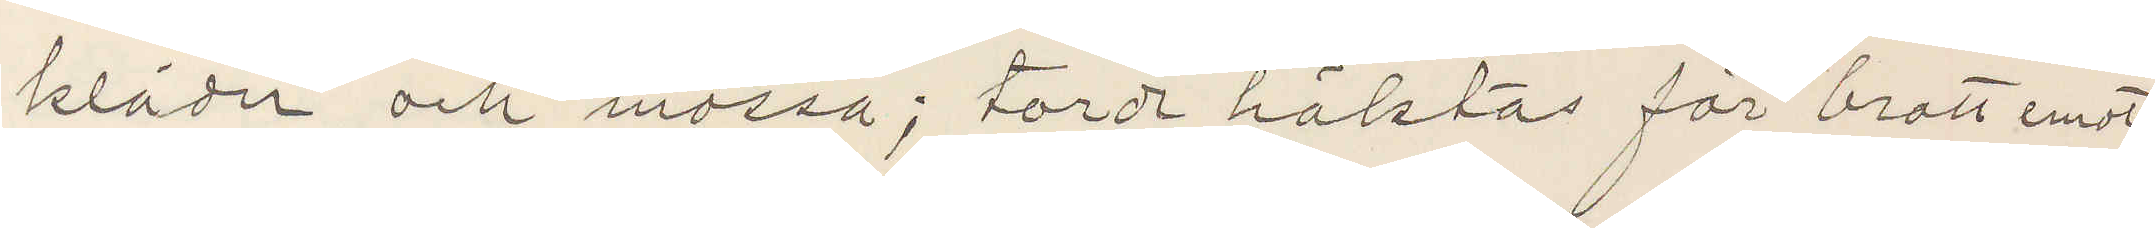kläder och mössa; torde häktas för brott emot
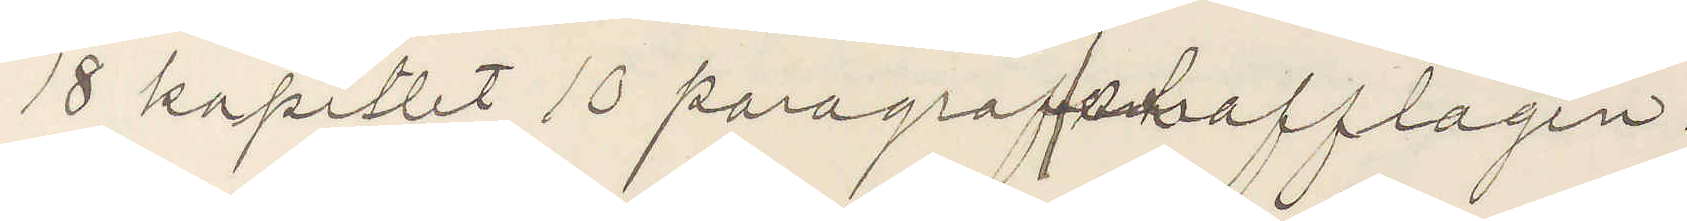18 kapitlet 10 paragrafen strafflagen.
